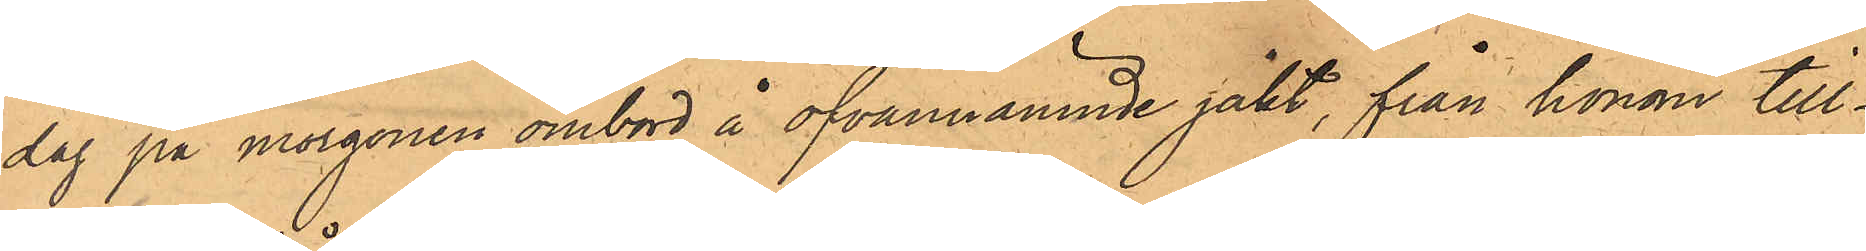dag på morgonen ombord å ofvannämnde jakt, från honom till¬
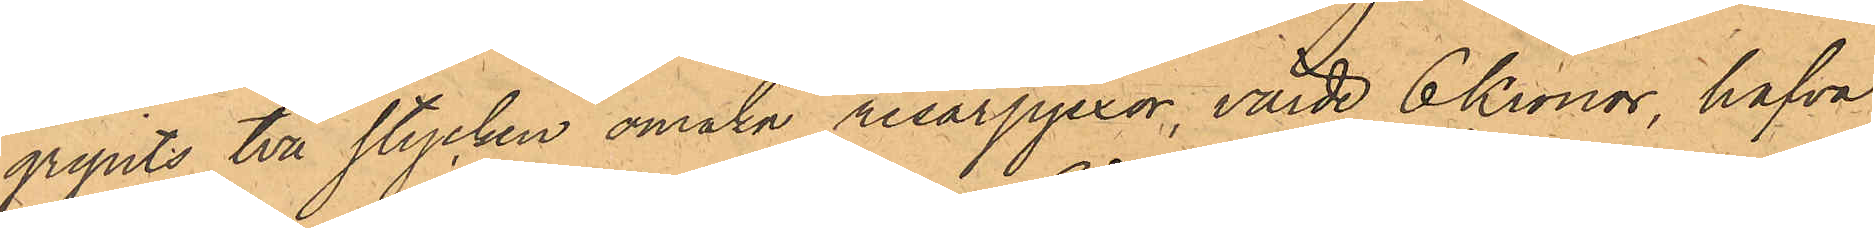gripits två stycken omaka resårpjexor, värde 6 Kronor, hafva
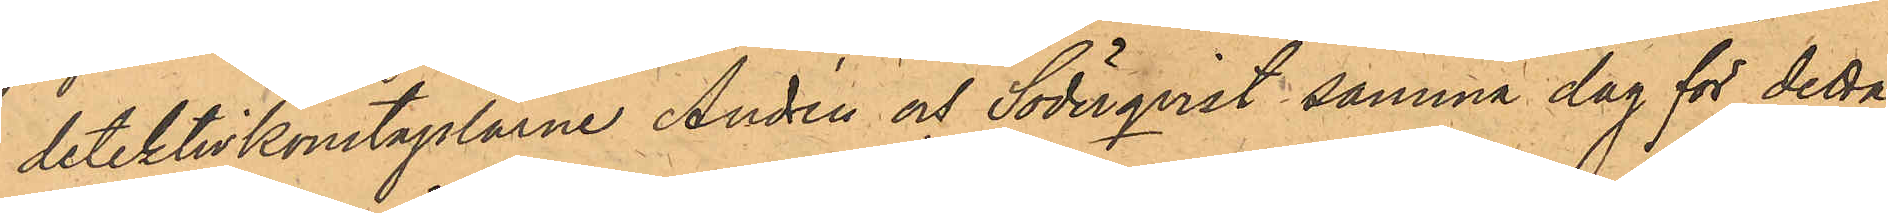detektivkonstaplarne Andrén och Söderqvist samma dag för detta
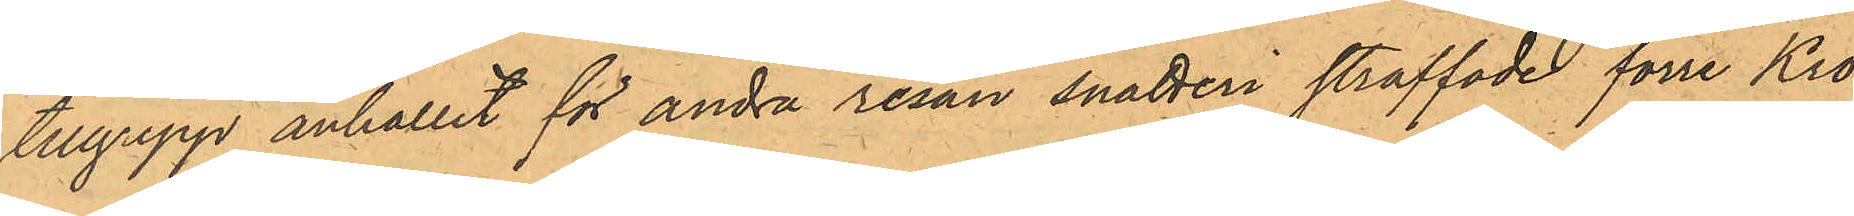tillgrepp anhållit för andra resan snatteri straffade förre Kro¬
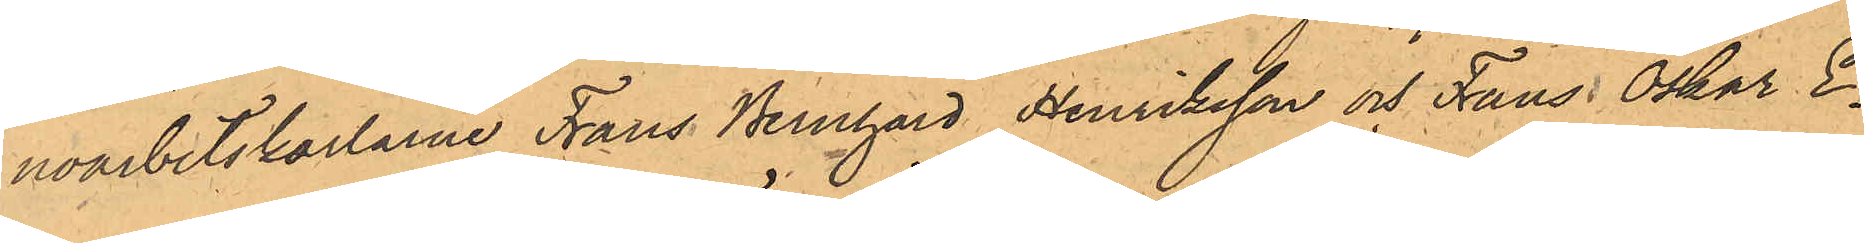noarbetskarlarne Frans Bernhard Henriksson och Frans Oskar E¬
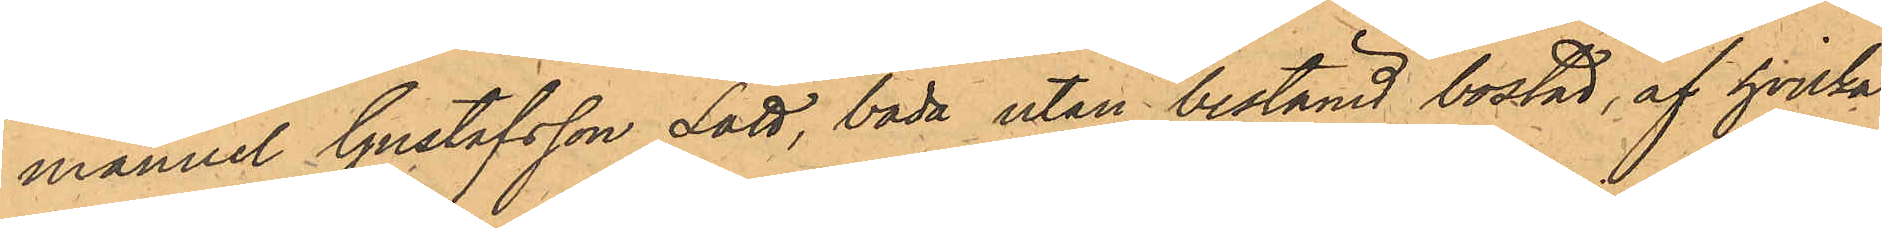manuel Gustafsson Lätt, båda utan bestämd bostad, af hvilka
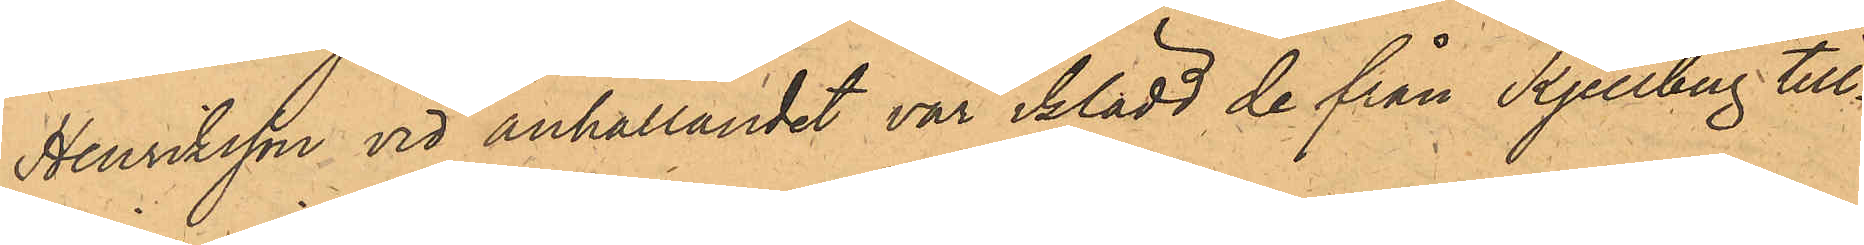Henriksson vid anhållandet var iklädd de från Kjellberg till¬
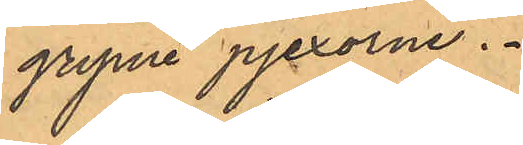gripne pjexorne.
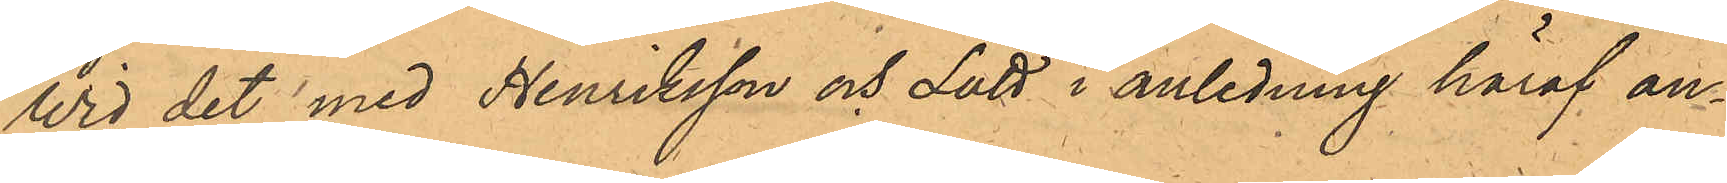Wid det med Henriksson och Lätt i anledning häraf an¬
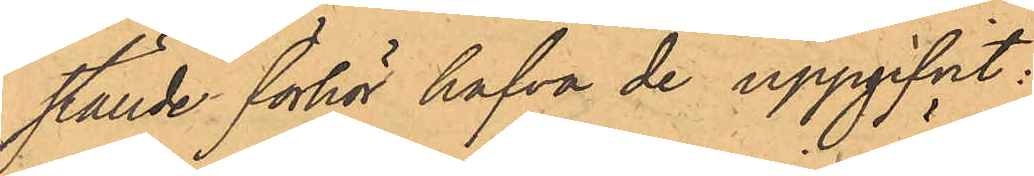ställde förhör hafva de uppgifvit:
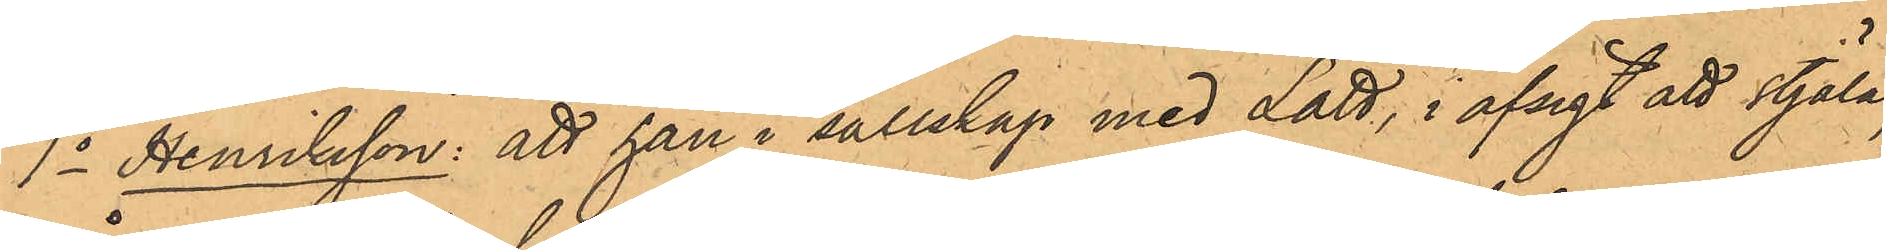1o Henriksson: att han i sällskap med Lätt, i afsigt att stjäla,
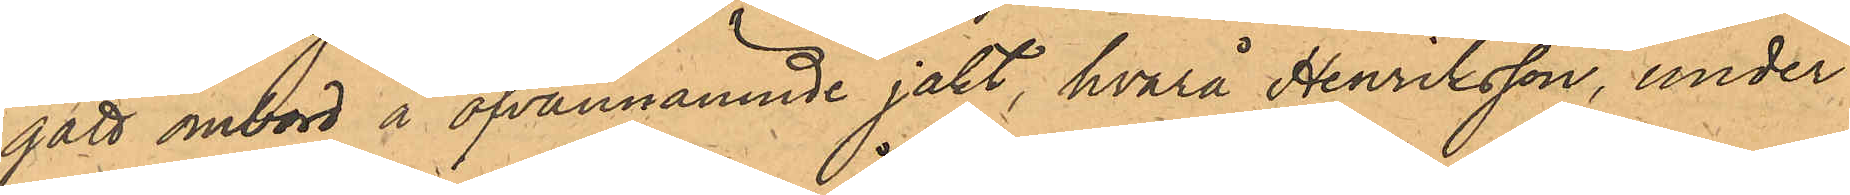gått ombord å ofvannämnde jakt, hvarå Henriksson, under
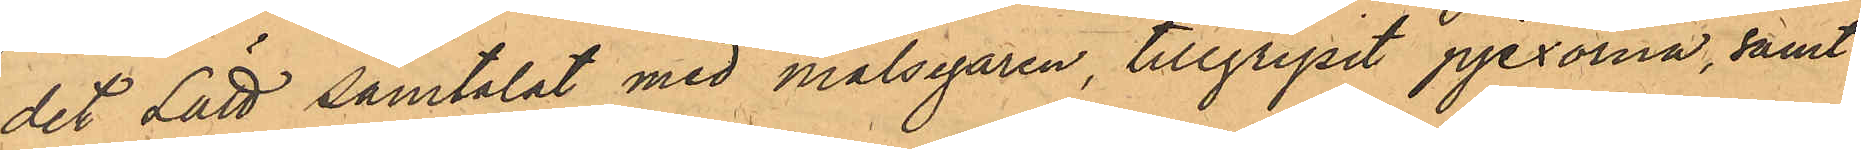det Lätt samtalat med målsegaren, tillgripit pjexorna, samt
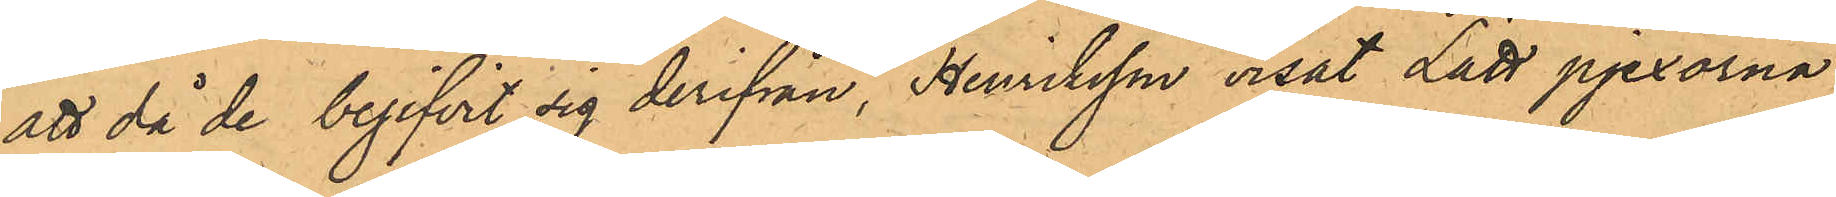att då de begifvit sig derifrån, Henriksson visat Lätt pjexorna
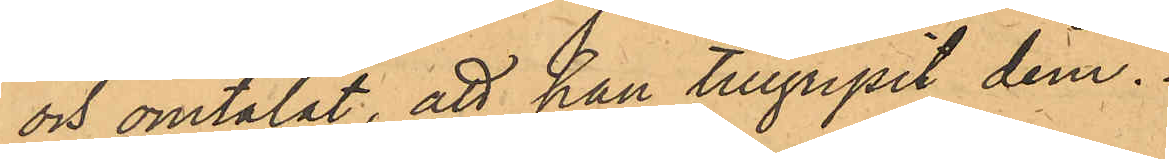och omtalat, att han tillgripit dem.
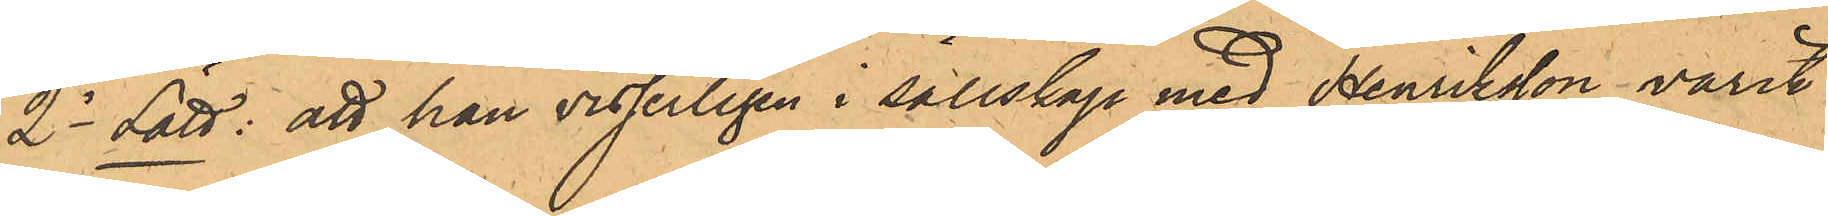2o Lätt: att han visserligen i sällskap med Henriksson varit
